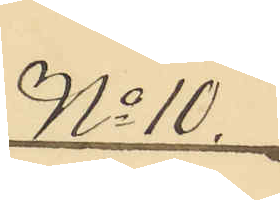No 10.
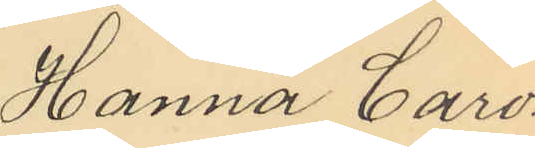Hanna Caro¬
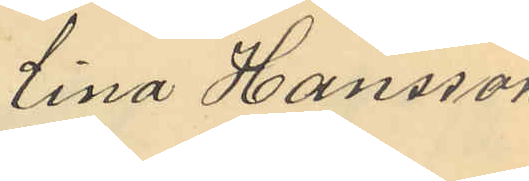lina Hansson
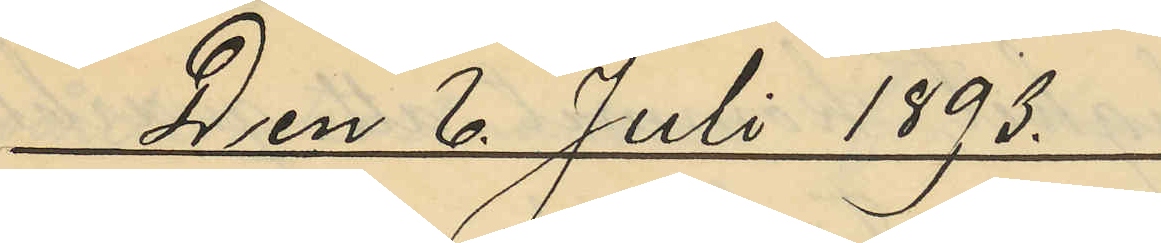Den 6 Juli 1893.
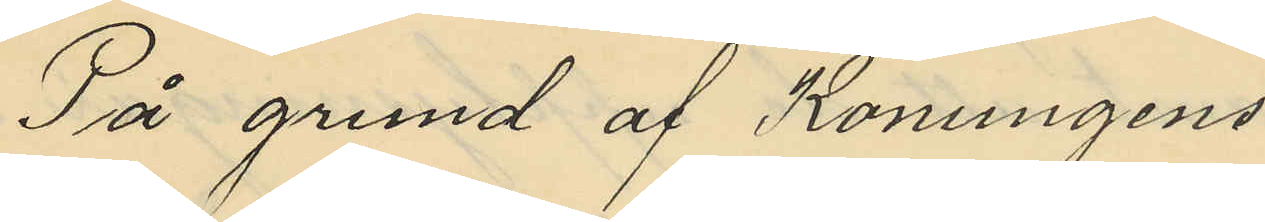På grund af Konungens
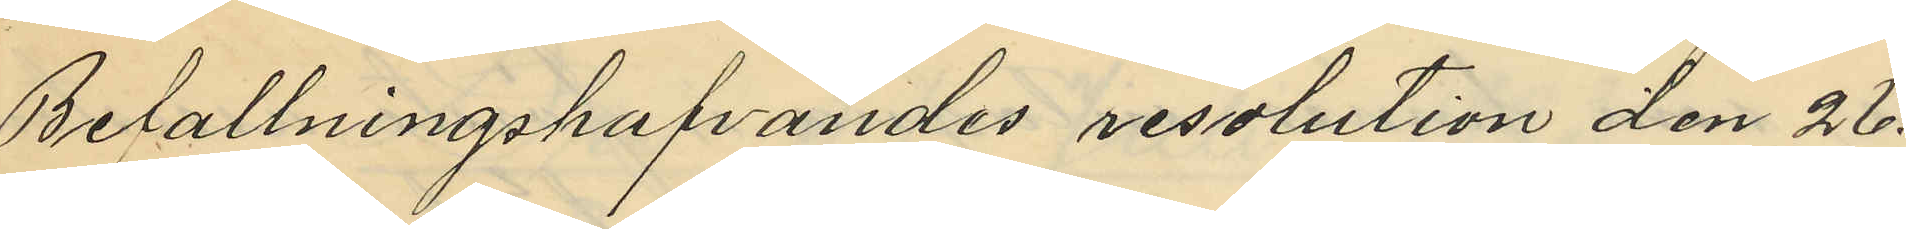Befallningshafvandes resolution den 26
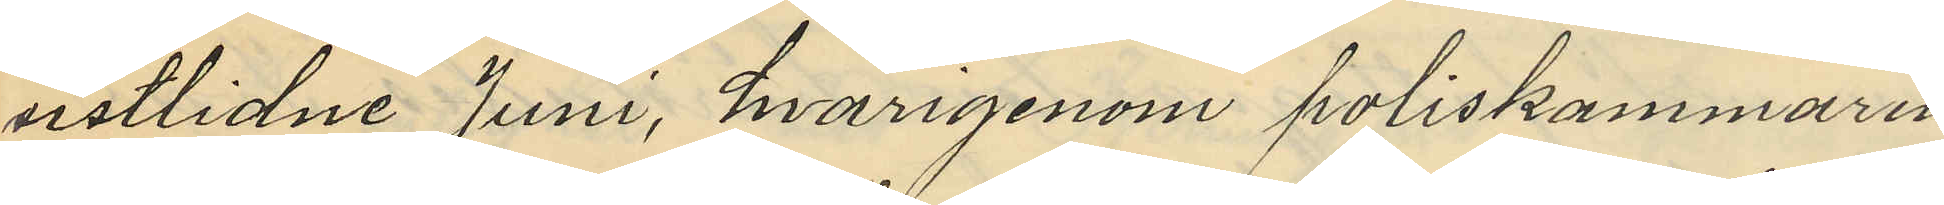sistlidne Juni, hvarigenom poliskammaren
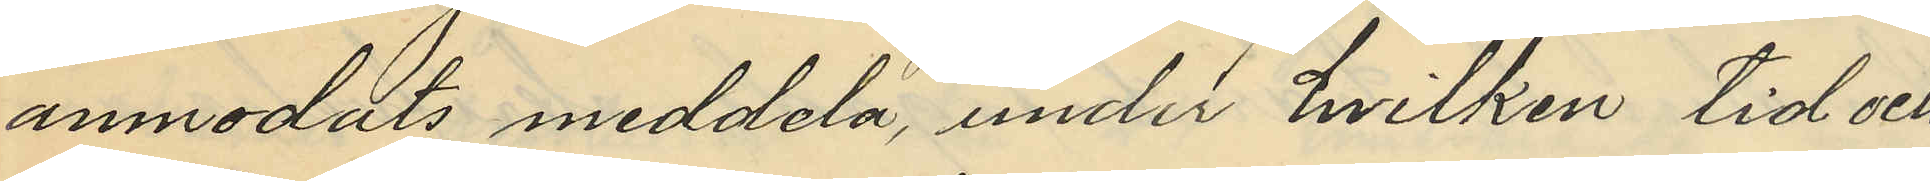anmodats meddela under hvilken tid och
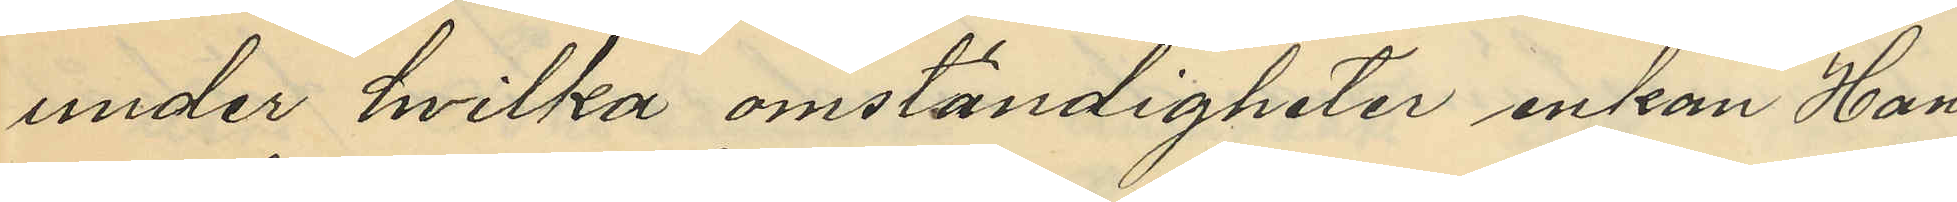under hvilka omständigheter enkan Han¬
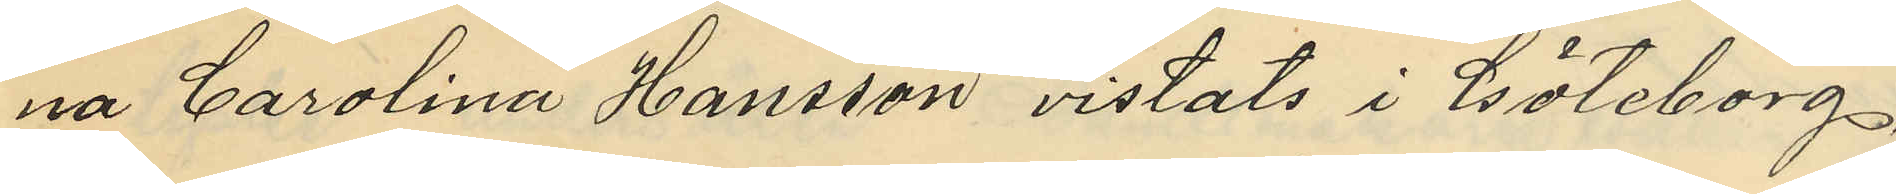na Carolina Hansson vistats i Göteborg,
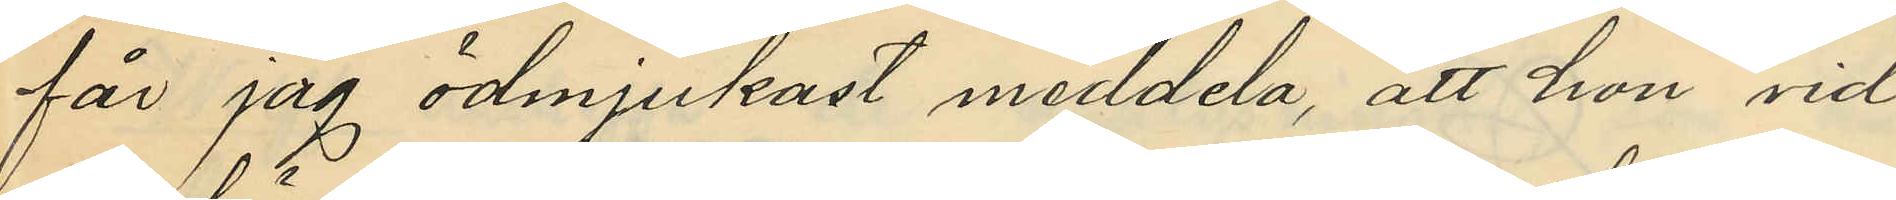får jag ödmjukast meddela, att hon vid
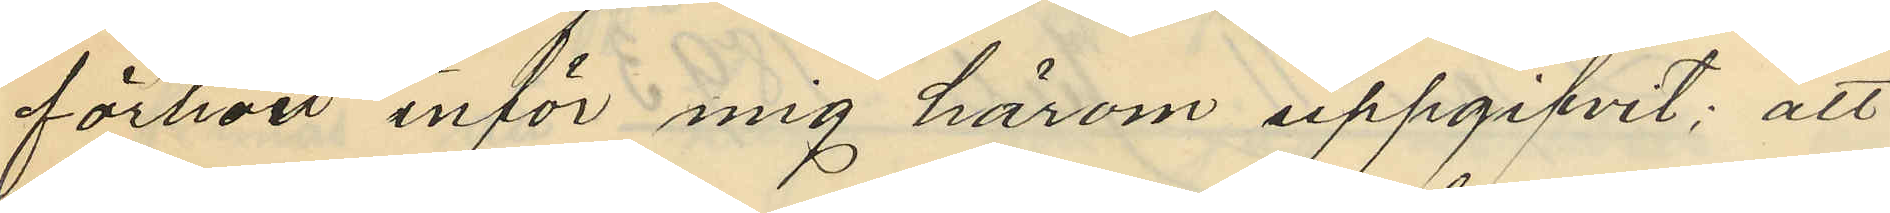förhör inför mig härom uppgifvit: att
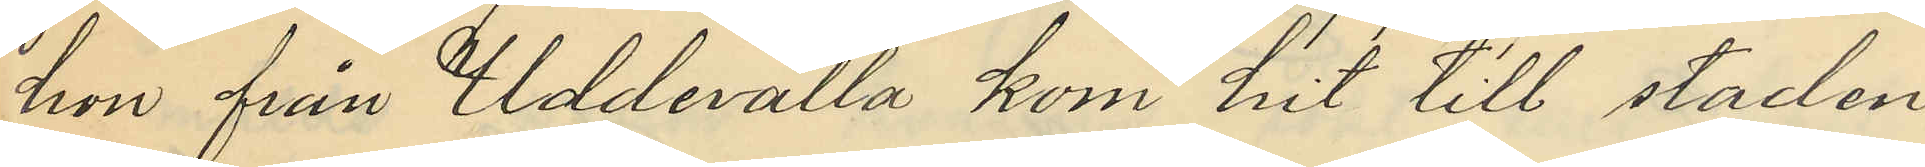hon från Uddevalla kom hit till staden
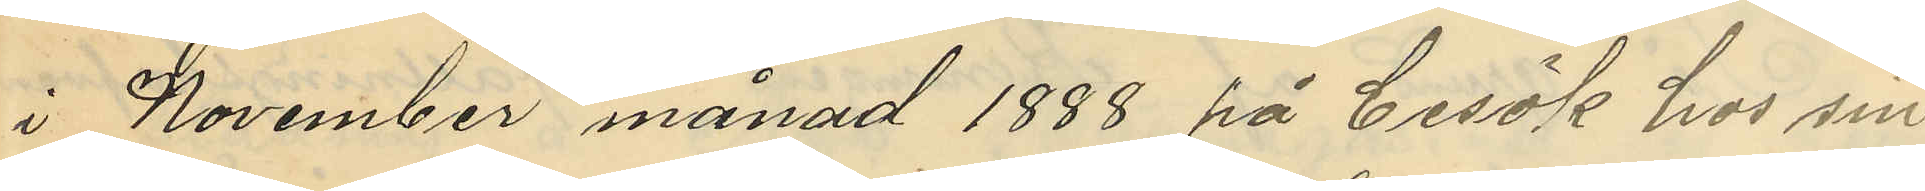i November månad 1888 på besök hos sin
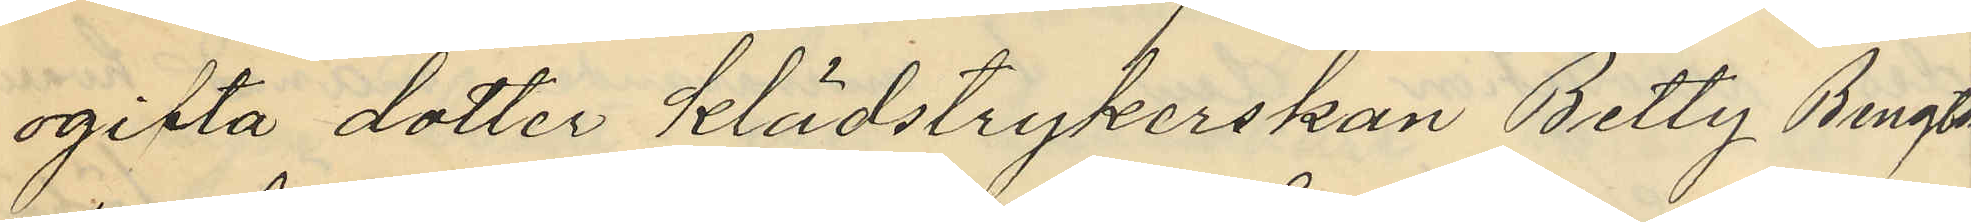ogifta dotter klädstrykerskan Betty Bengts¬
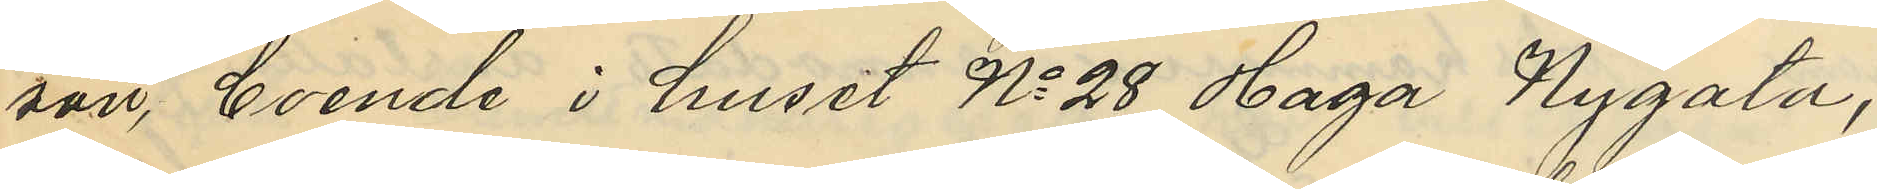son, boende i huset No 28 Haga Nygata,
